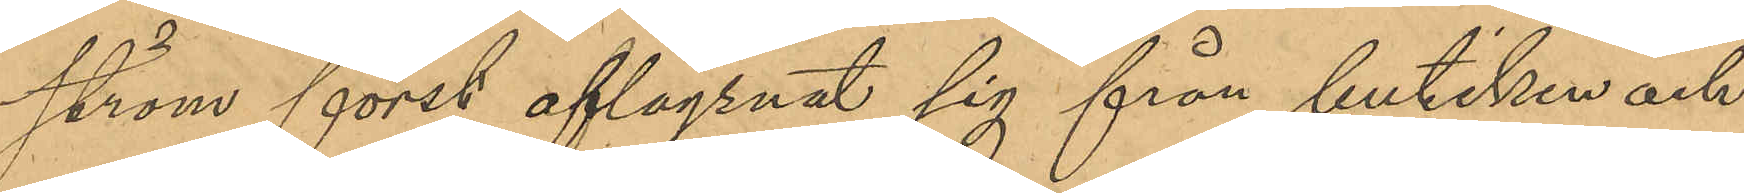ström först aflägsnat sig från butiken och
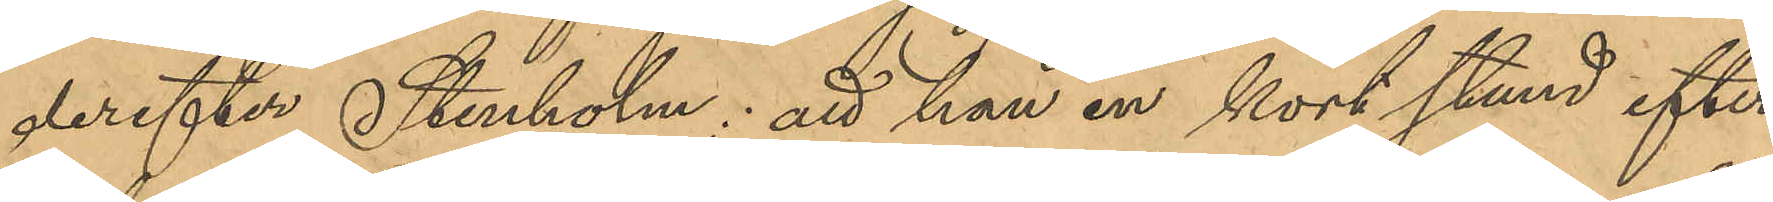derefter Stenholm; att han en kort stund efter
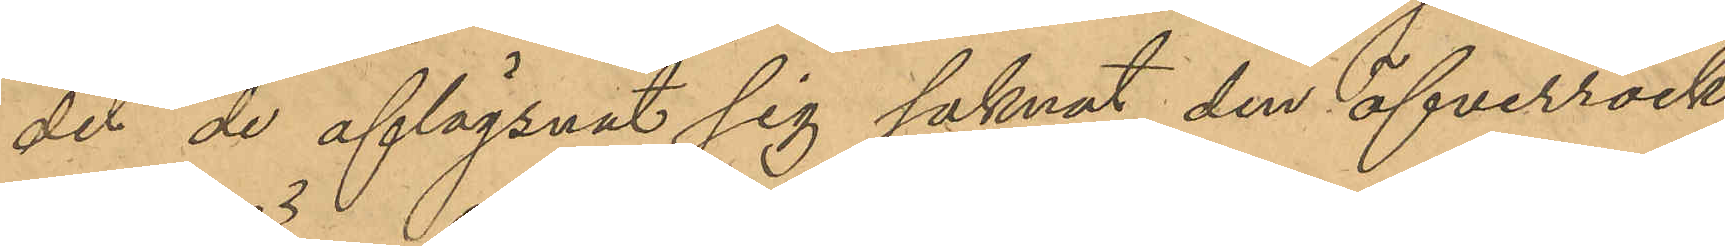det de aflägsnat sig saknat den öfverrock
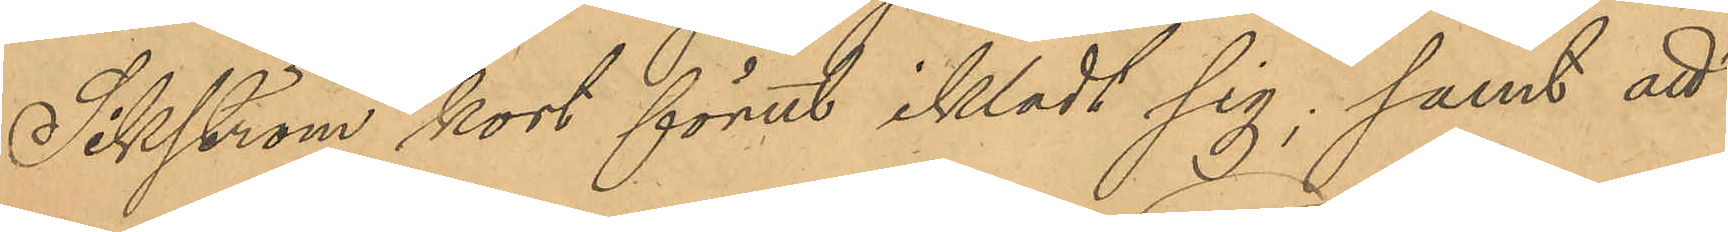Sikström kort förut iklädt sig; samt att
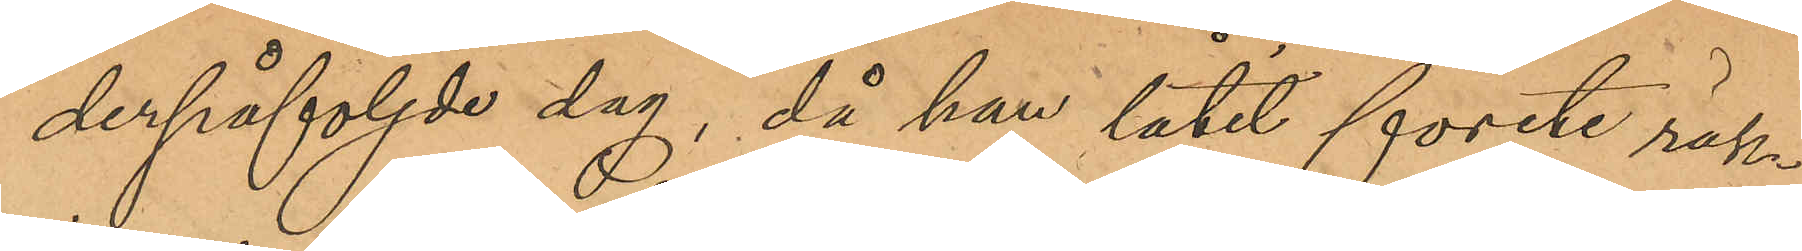derpåföljde dag, då han låtit förete räk¬
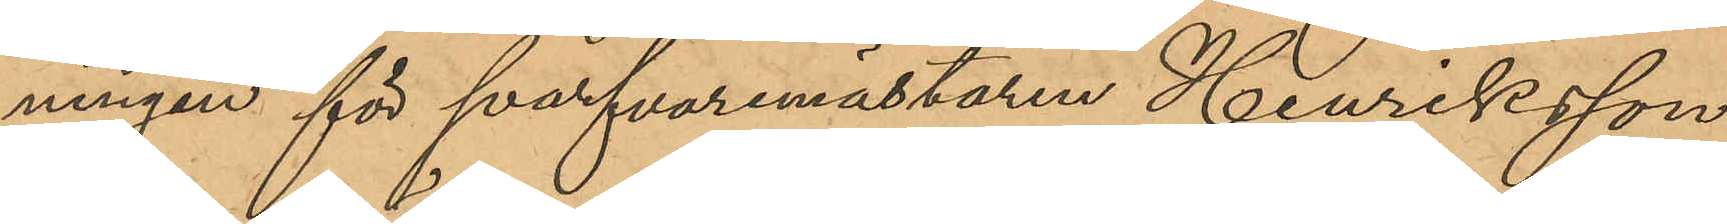ningen för svarfvaremästaren Henriksson,
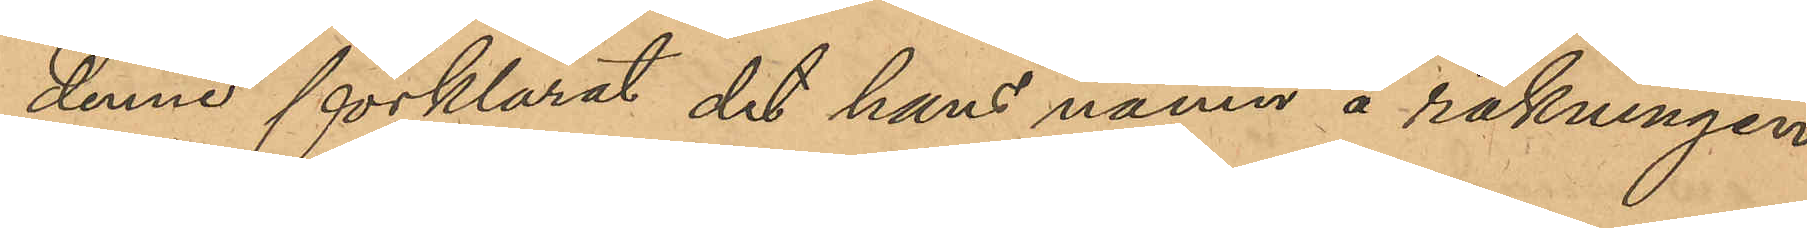denne förklarat det hans namn å räkningen
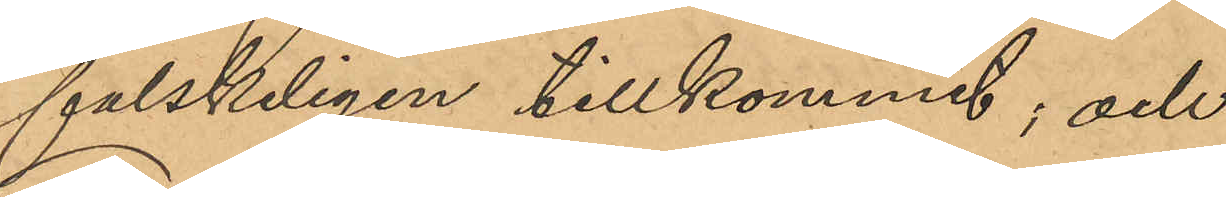falskeligen tillkommit; och
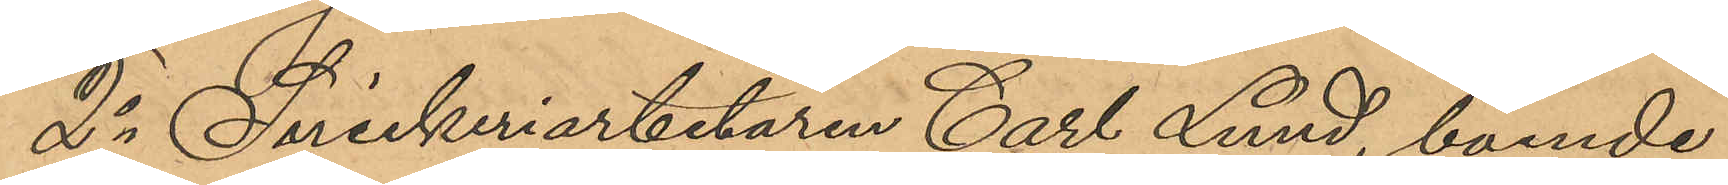2o Snickeriarbetaren Carl Lund, boende
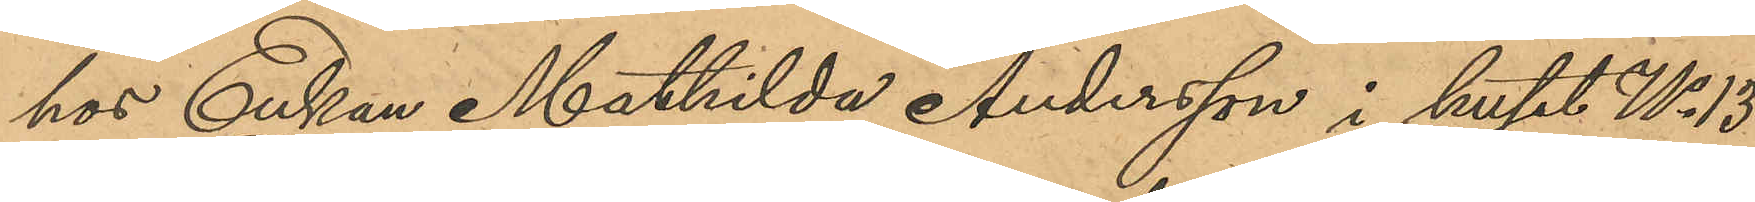hos Enkan Mathilda Andersson i huset No 13
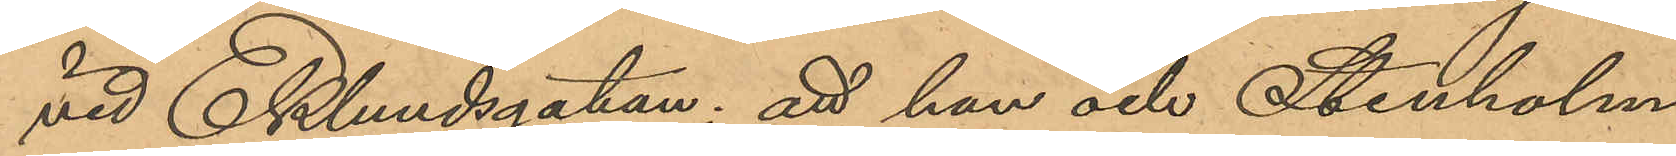vid Eklundsgatan: att han och Stenholm
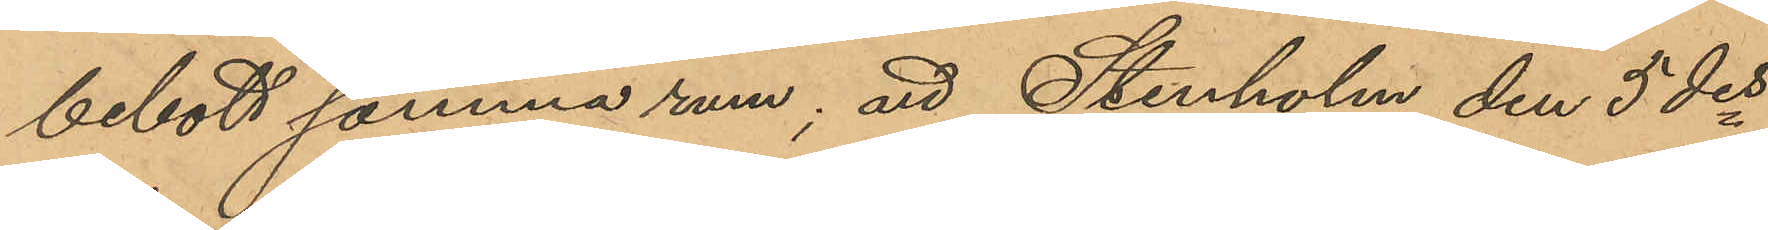bebott samma rum; att Stenholm den 5 des
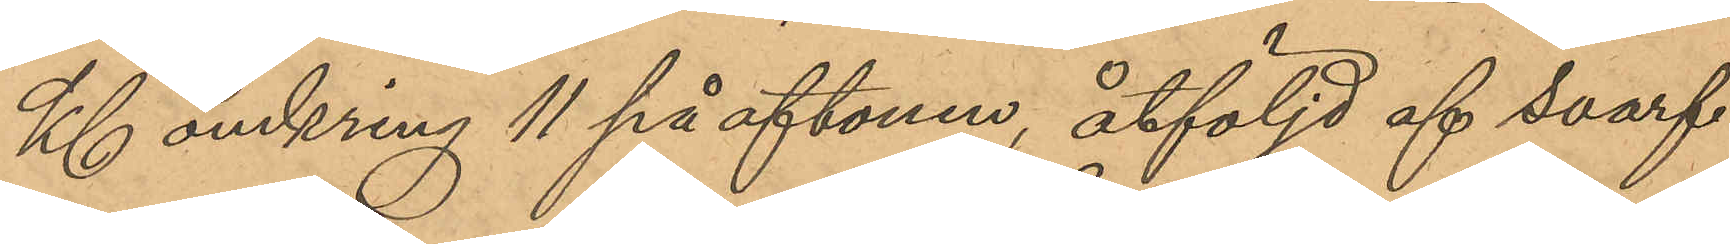Kl omkring 11 på aftonen, åtföljd af svarf¬
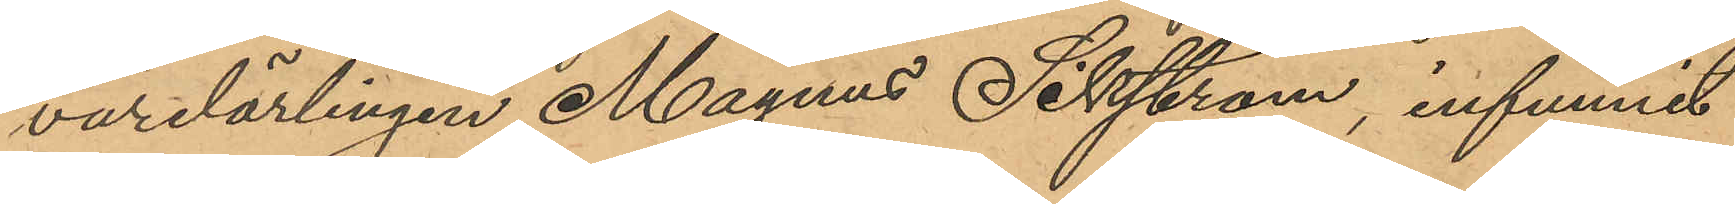varelärlingen Magnus Sikström, infunnit
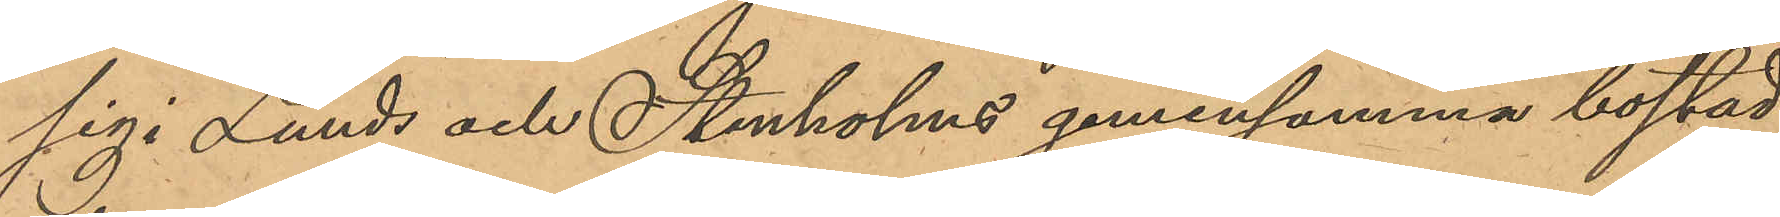sig i Lunds och Stenholms gemensamma bostad,
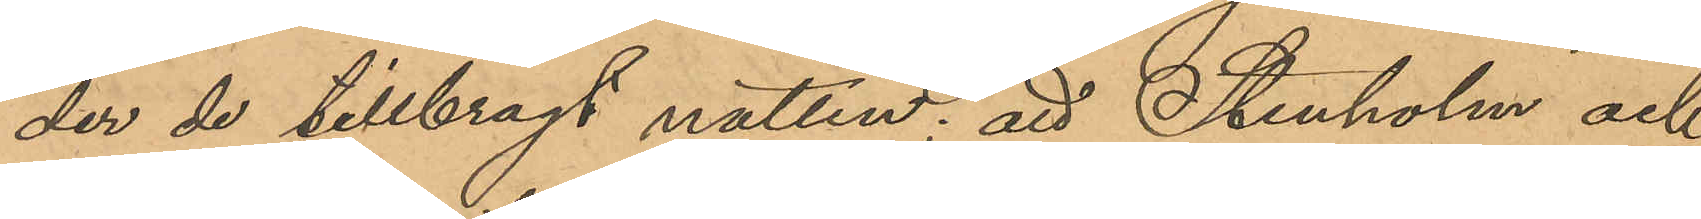der de tillbragt natten; att Stenholm och
